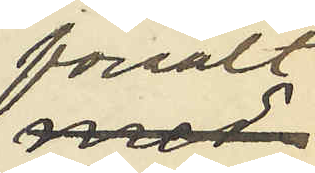försålt
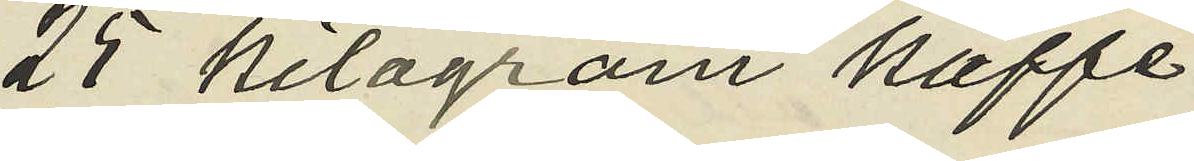25 kilogram kaffe
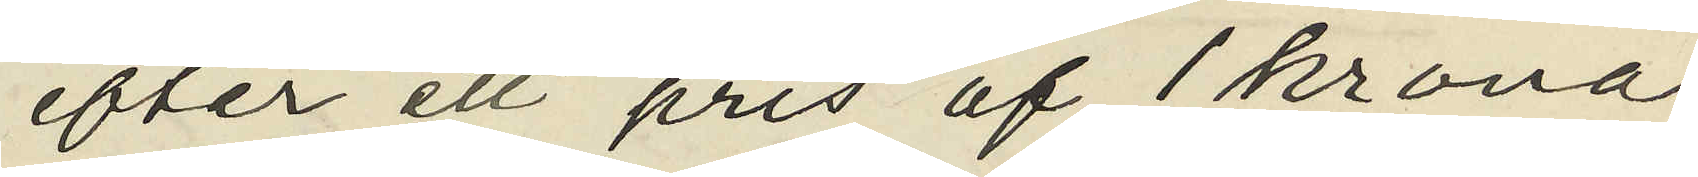efter ett pris af 1 krona
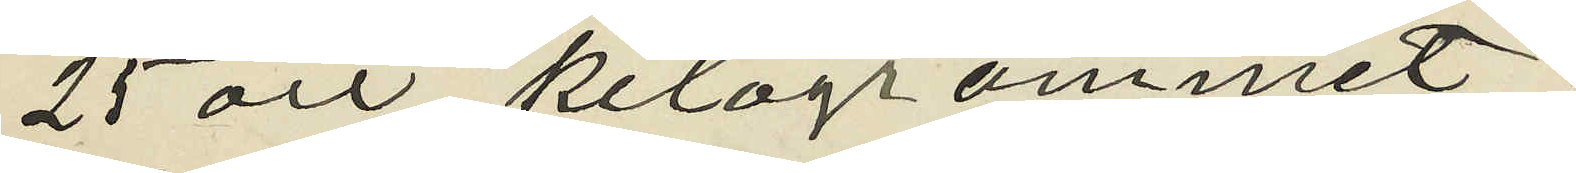25 öre kilogrammet;
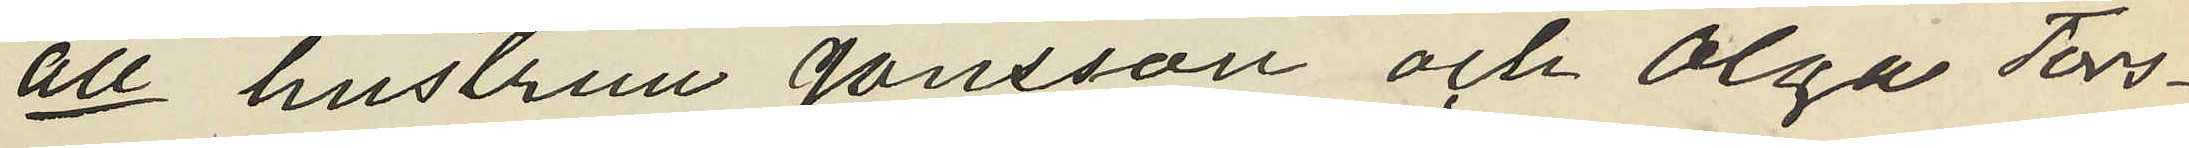att hustrun Jönsson och Olga Tors¬
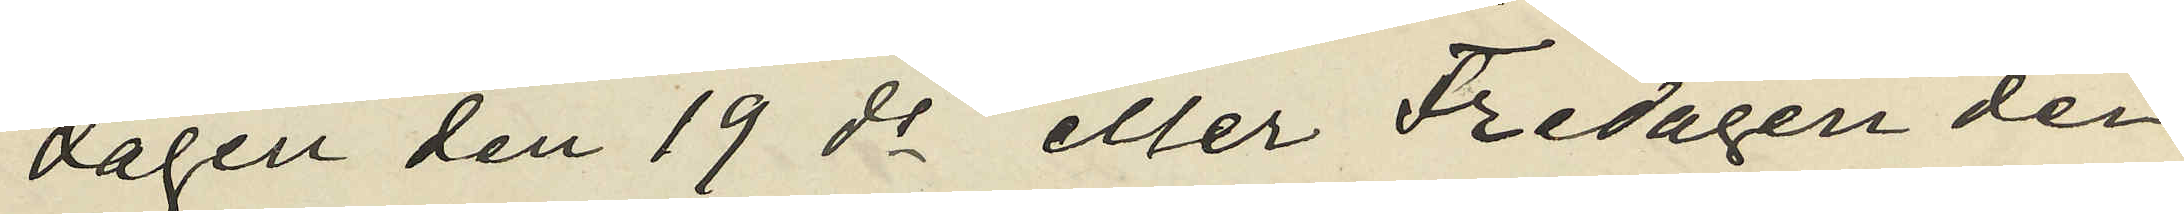dagen den 19 ds eller Fredagen den
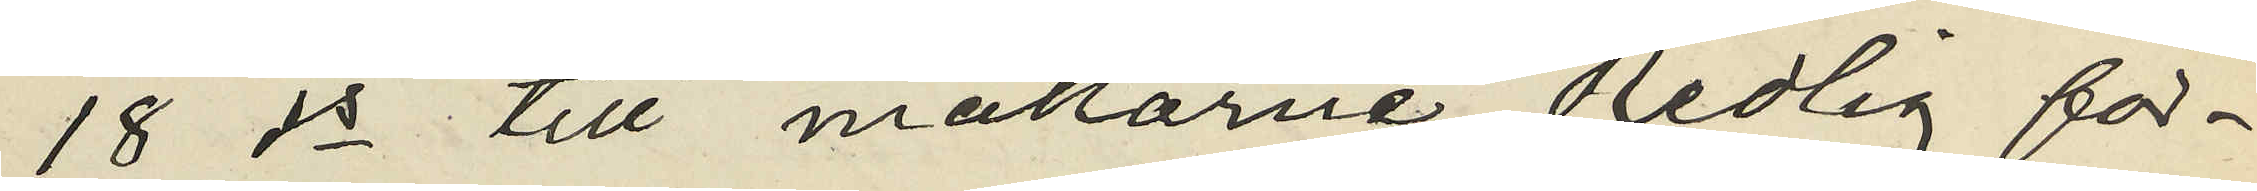18 ds till makarne Redlig för¬
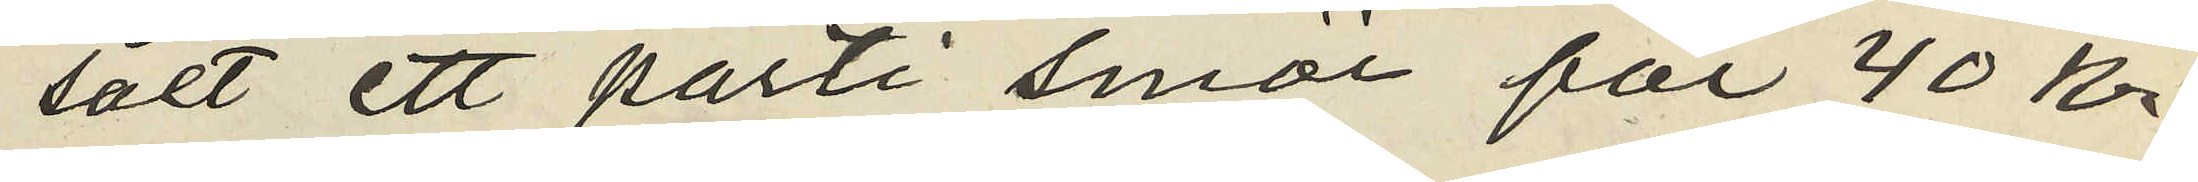sålt ett parti smör för 40 kr;
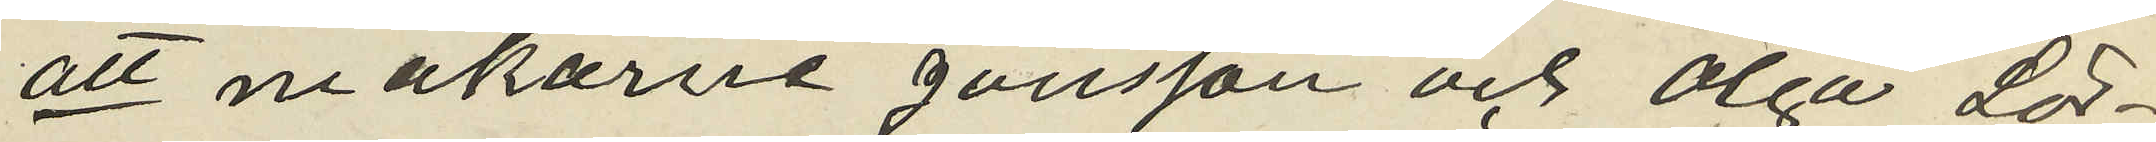att makarne Jönsson och Olga Lör¬
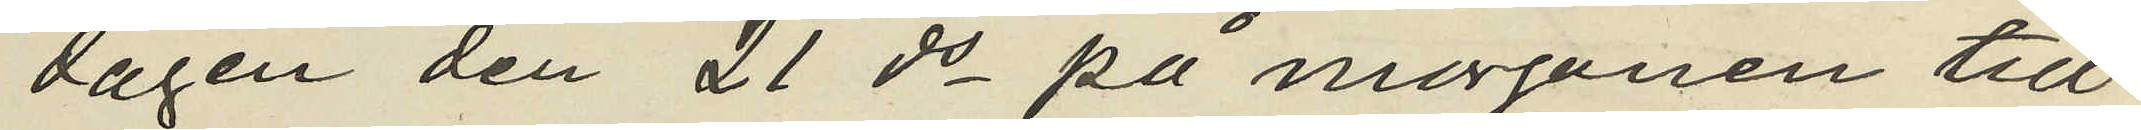dagen den 21 ds på morgonen till
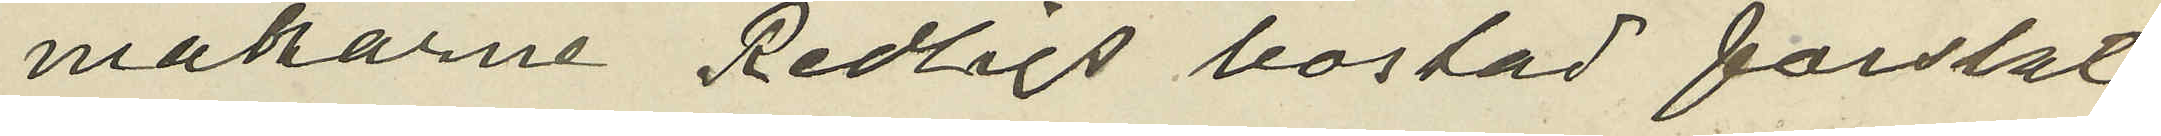makarne Redligs bostad forslat
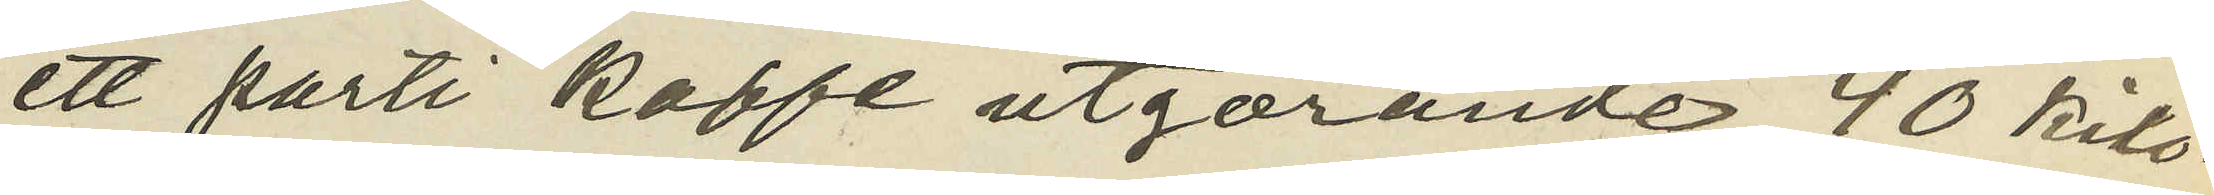ett parti kaffe utgörande 40 kilo¬
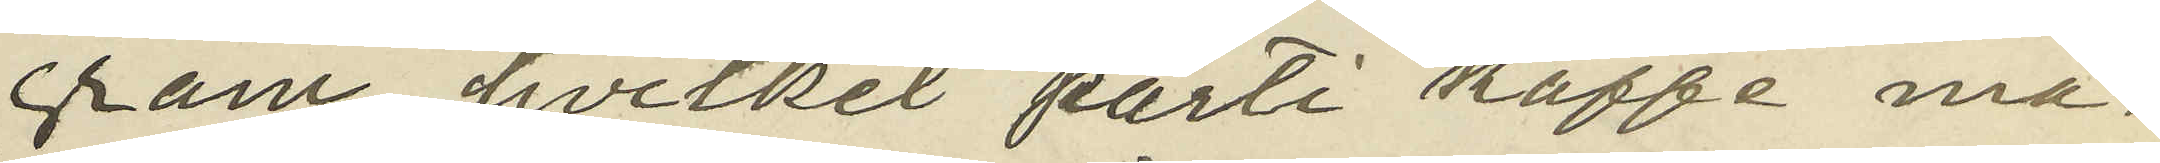gram, hvilket parti kaffe ma¬
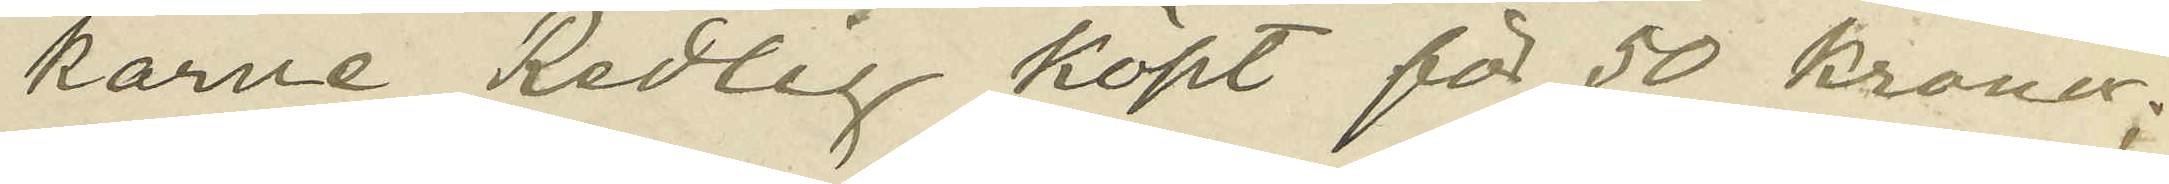karne Redlig köpt för 50 kronor;
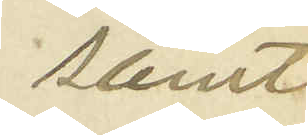samt
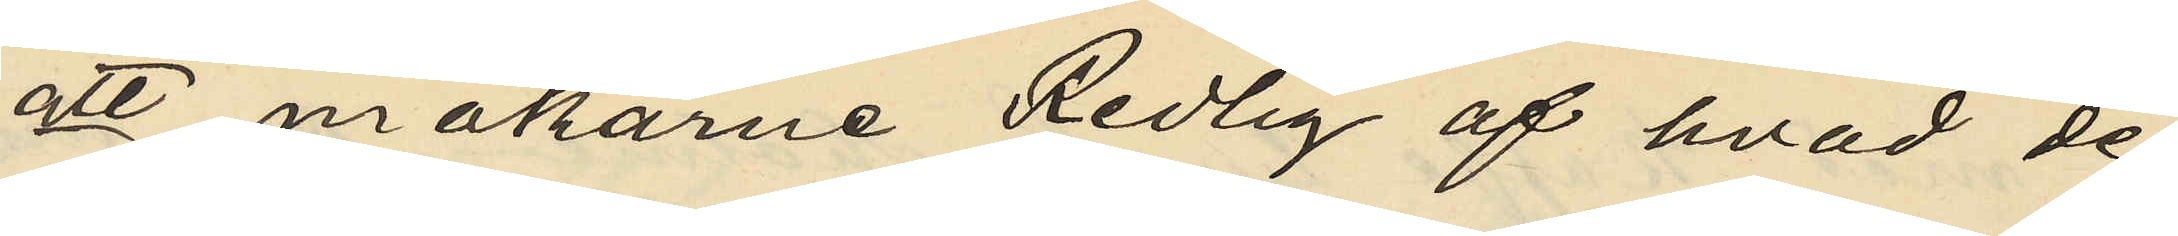att makarne Redlig af hvad de
